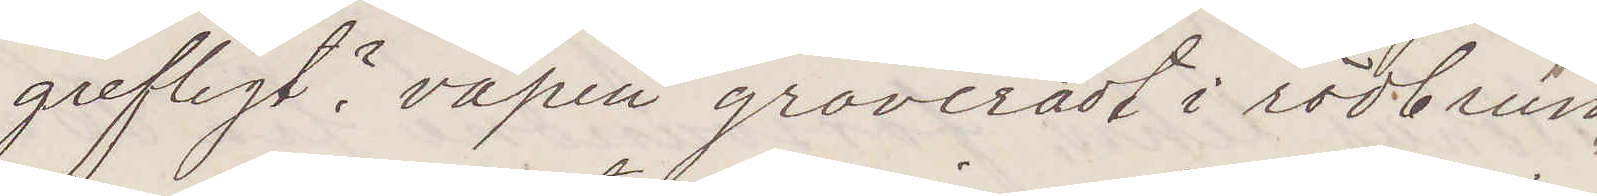grefligt? vapen graveradt i rödbrun
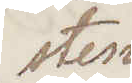sten
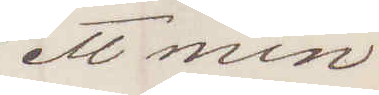ett min¬
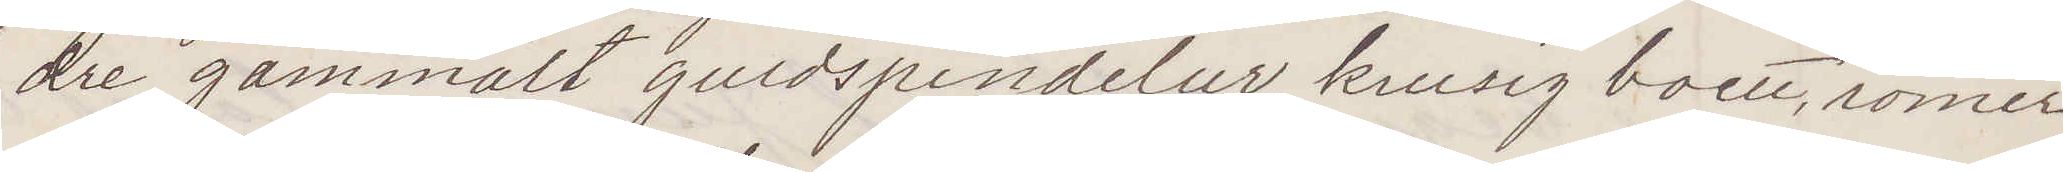dre gammalt guldspindelur, krusig boett, romer¬
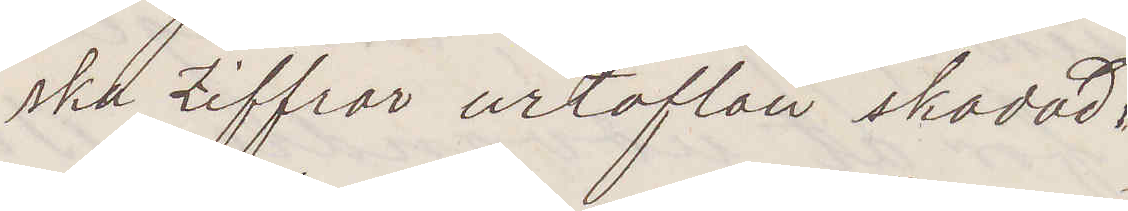ska Ziffror urtaflan skadad.
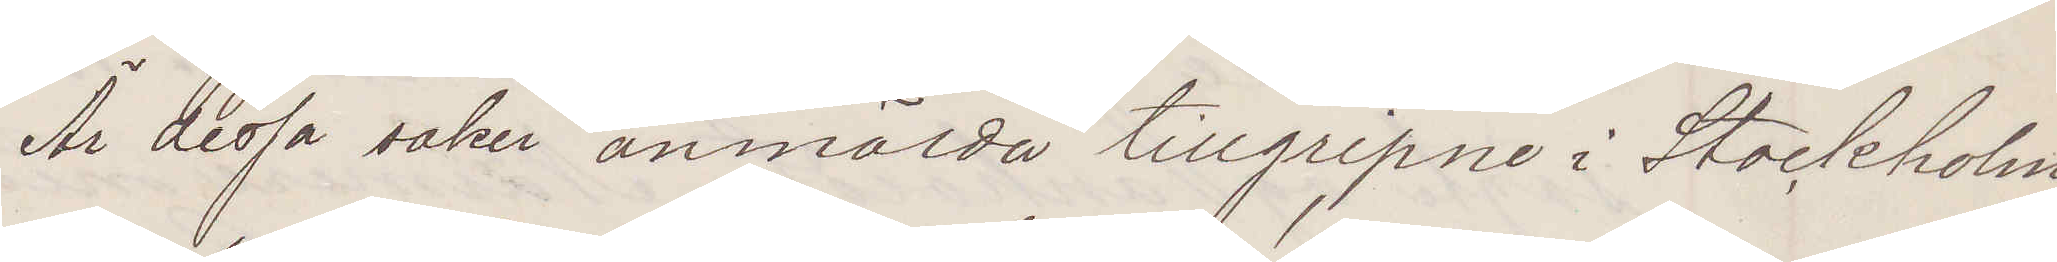Är dessa saker anmälda tillgripne i Stockholm
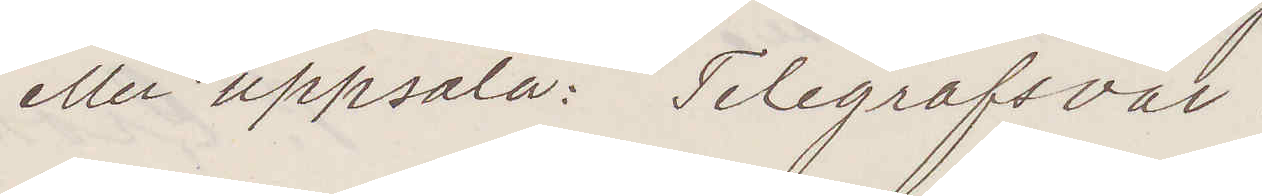eller Uppsala: Telegrafsvar!
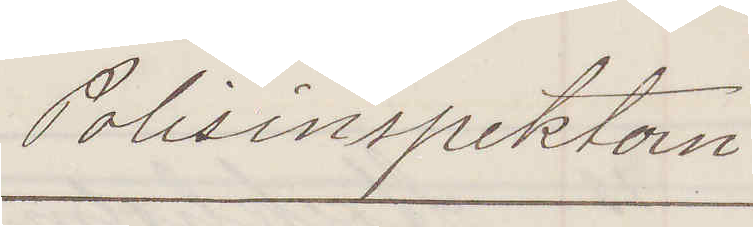Polisinspektorn
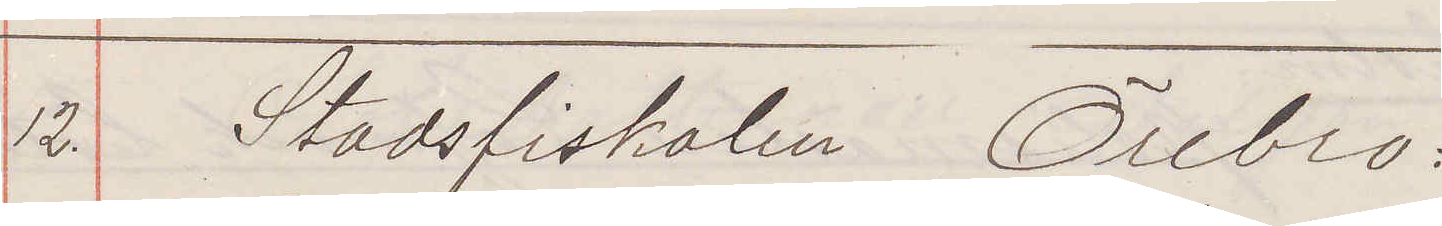12. Stadsfiskalen Örebro:
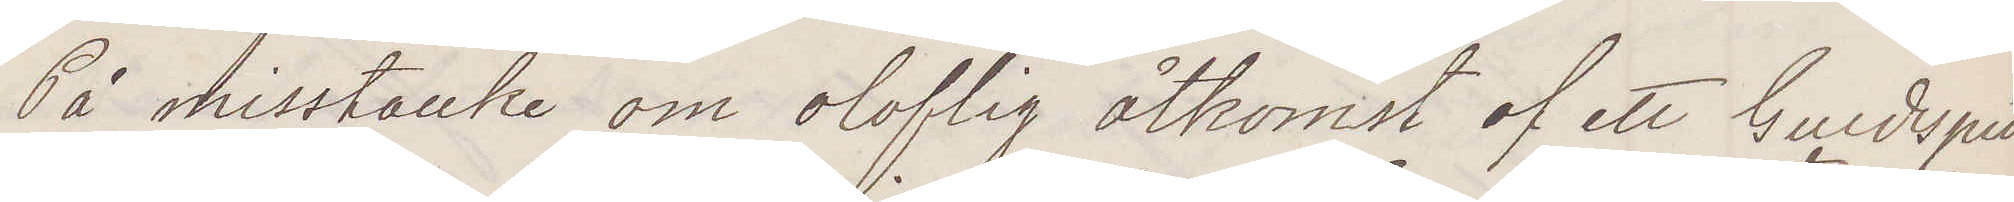På misstanke om oloflig åtkomst af ett Guldspin¬
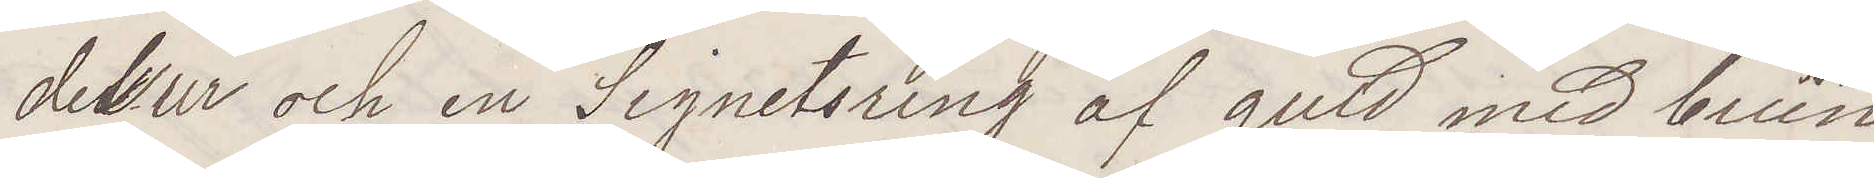delur och en Signetsring af guld med brun
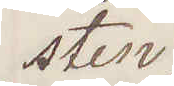sten
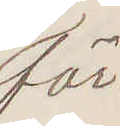för¬
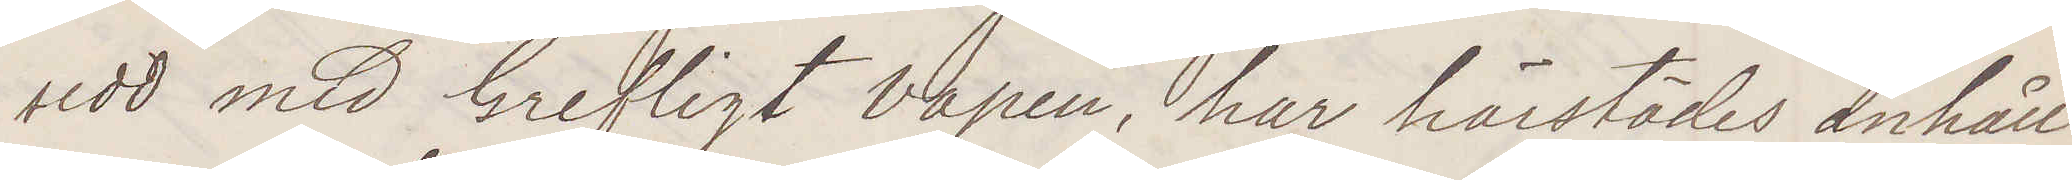sedd med Grefligt vapen, har härstädes anhåll¬
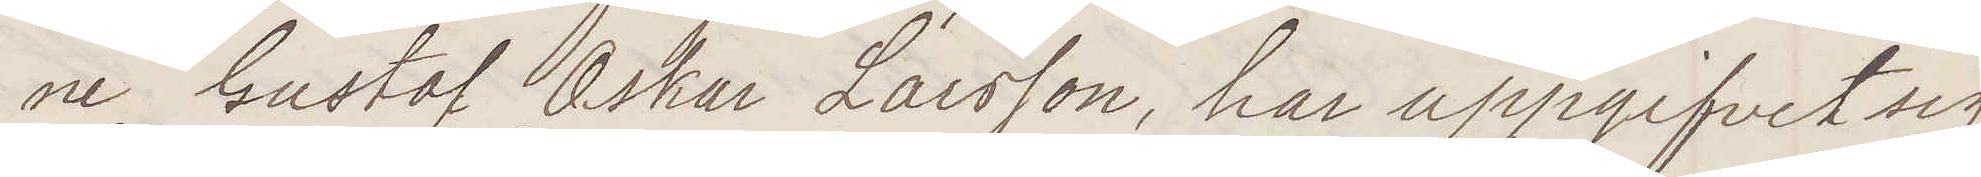ne Gustaf Oskar Larsson, har uppgifvit sig
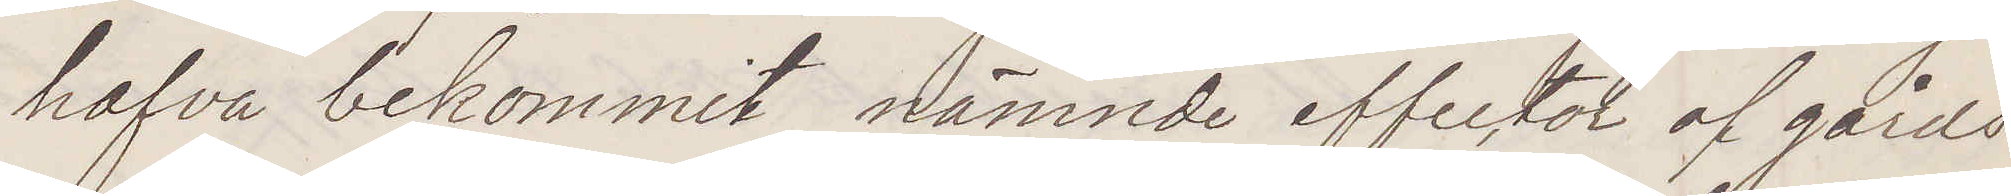hafva bekommit nämnde effekter af gårds¬
